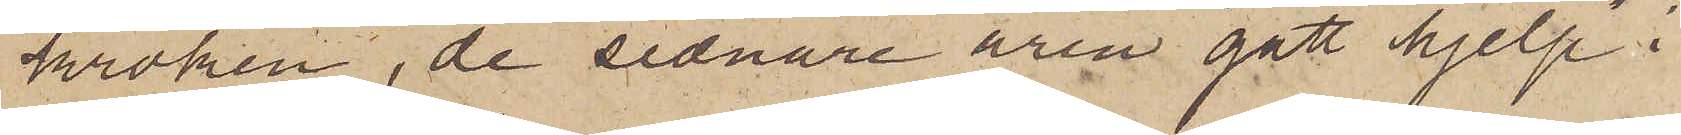kroken, de sednare åren "gått hjelp" i
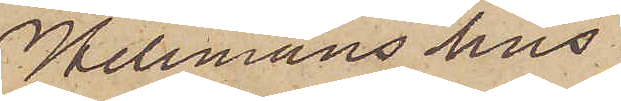Hellmans hus.
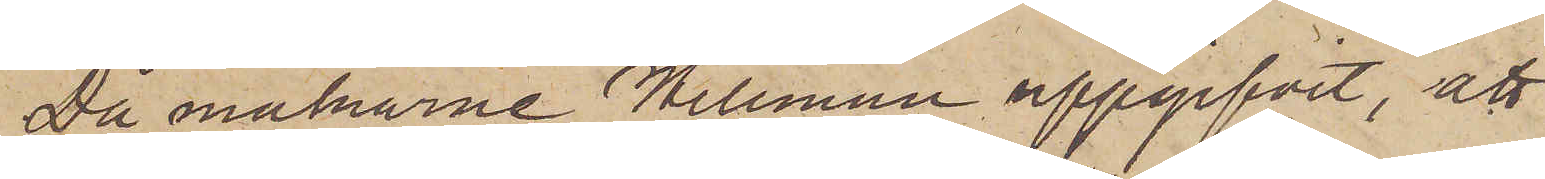Då makarne Hellman uppgifvit, att
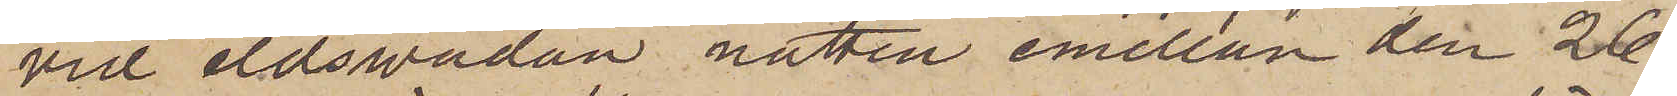vid eldsvådan natten emellan den 26
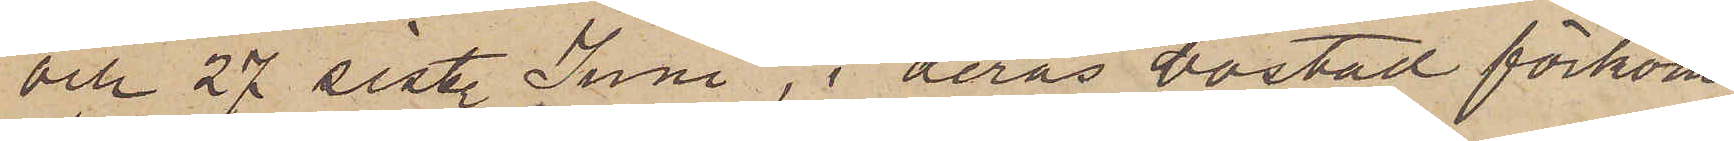och 27 sist. Juni, i deras bostad förkom¬
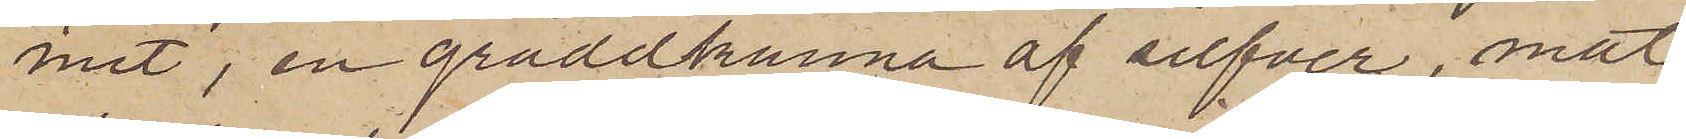mit, en gräddkanna af silfver, mat¬
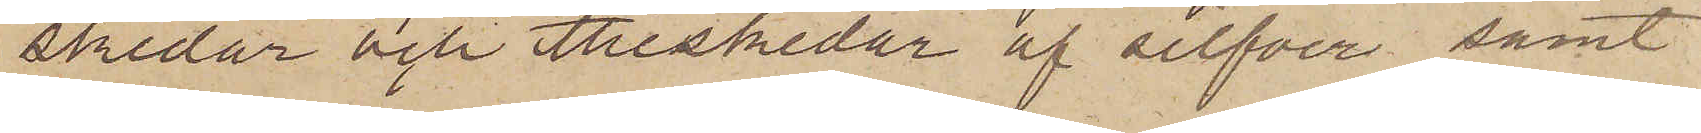skedar och theskedar af silfver samt
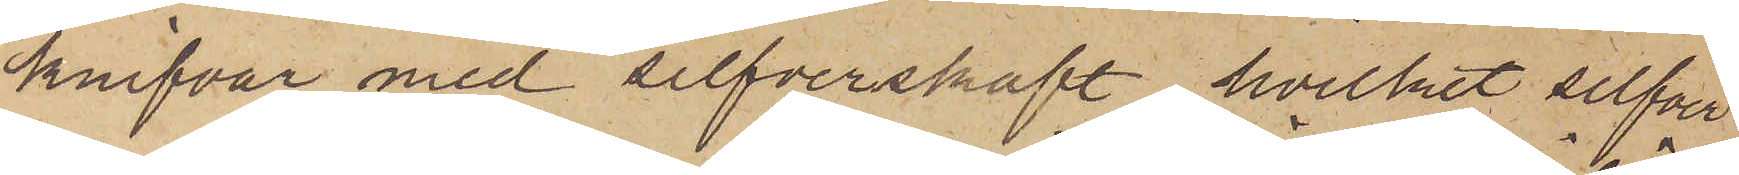knifvar med silfverskaft, hvilket silfver
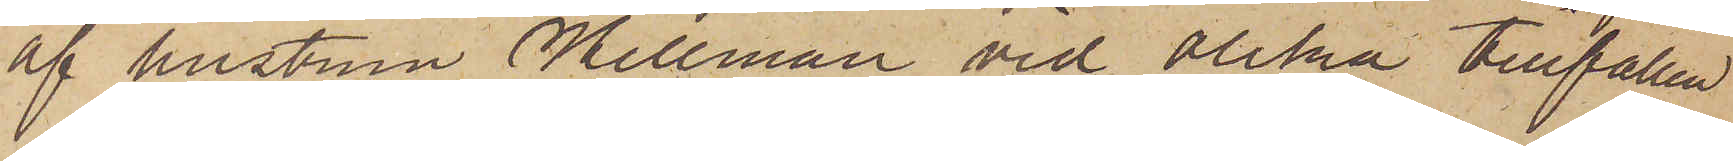af hustrun Hellman vid olika tillfällen
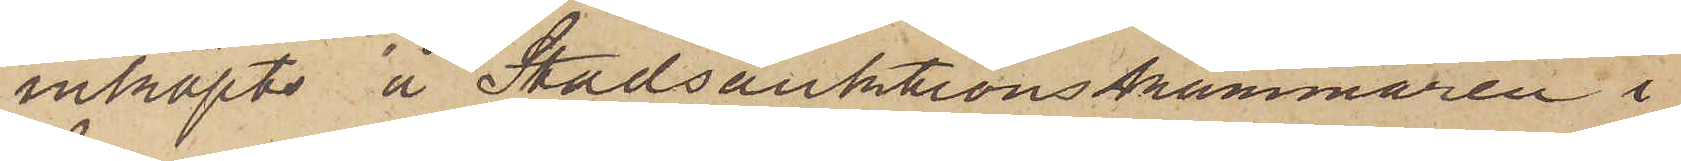inköpts å Stadsauktionskammaren i
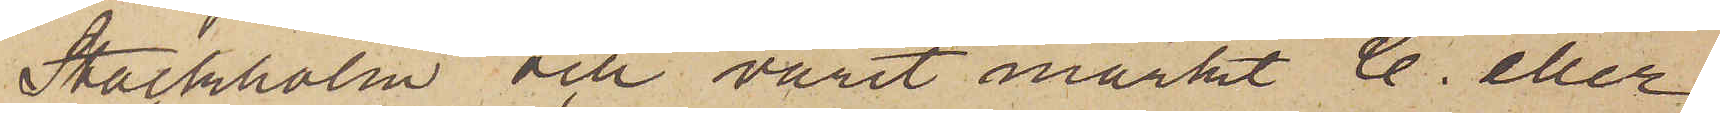Stockholm och varit märkt C. eller
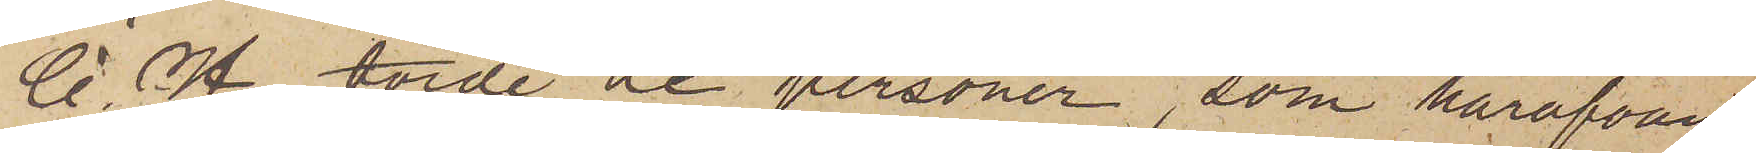C H, torde de personer, som härofvan
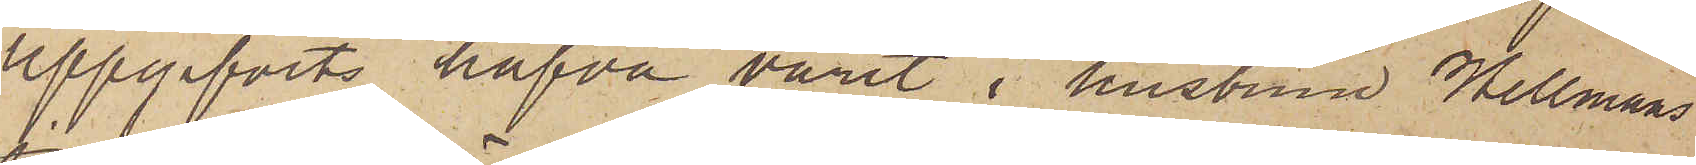uppgifvits hafva varit i hustrun Hellmans
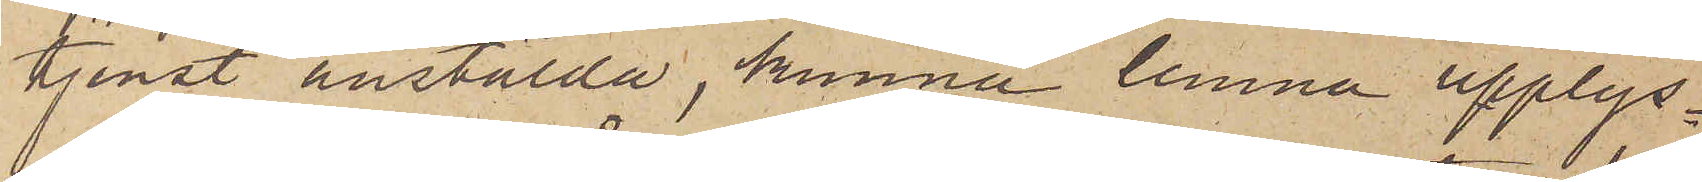tjenst anstälda, kunna lemna upplys¬
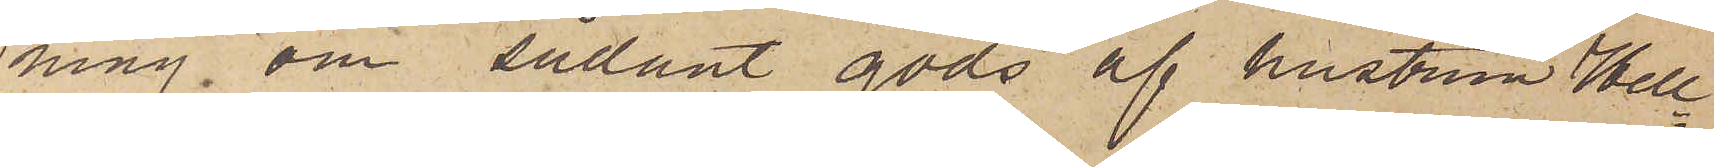ning om sådant gods af hustrun Hell¬
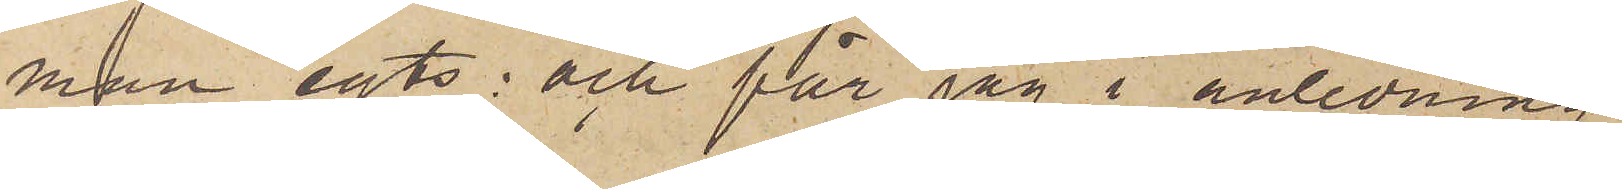man egts; och får jag i anledning
